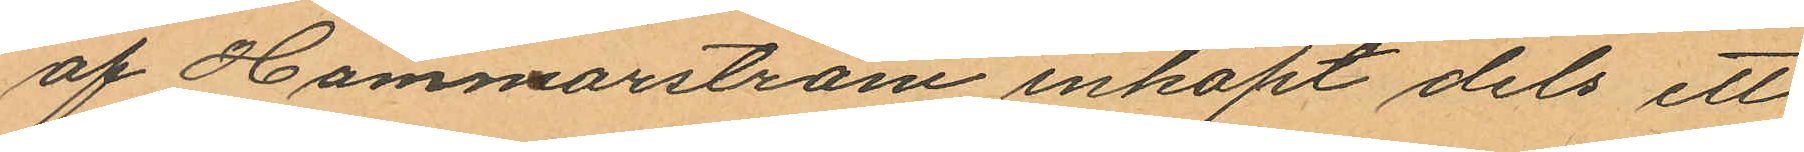af Hammarström inköpt dels ett
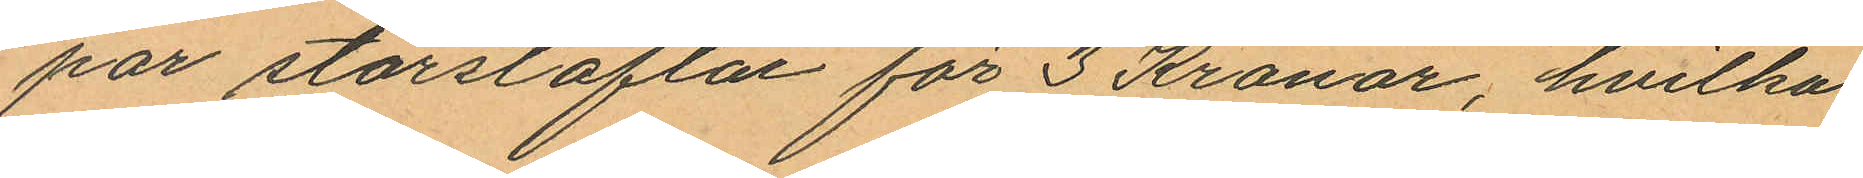par storstöflar för 3 Kronor, hvilka
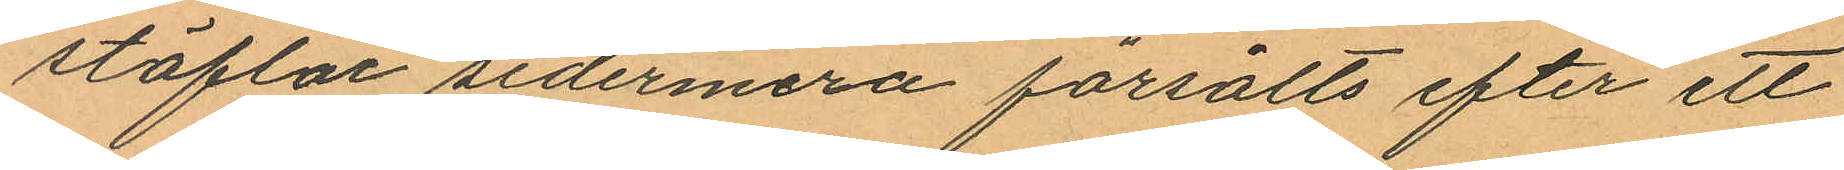stöflar sedermera försålts efter ett
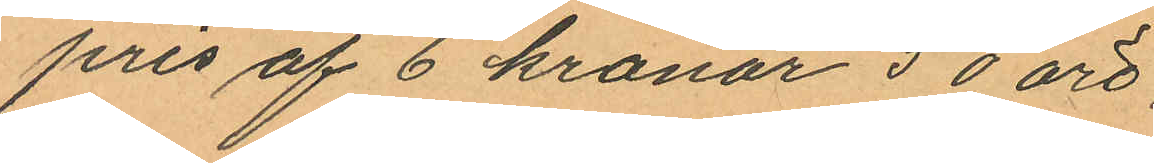pris af 6 kronor 50 öre
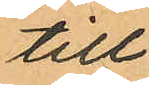till
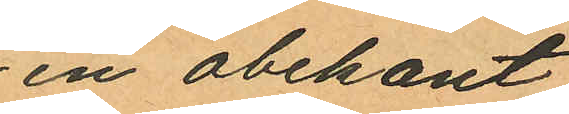en obekant
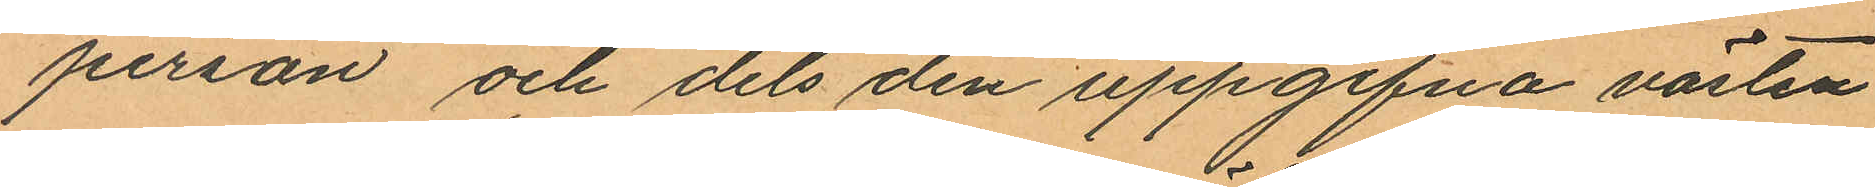person och dels den uppgifna västen
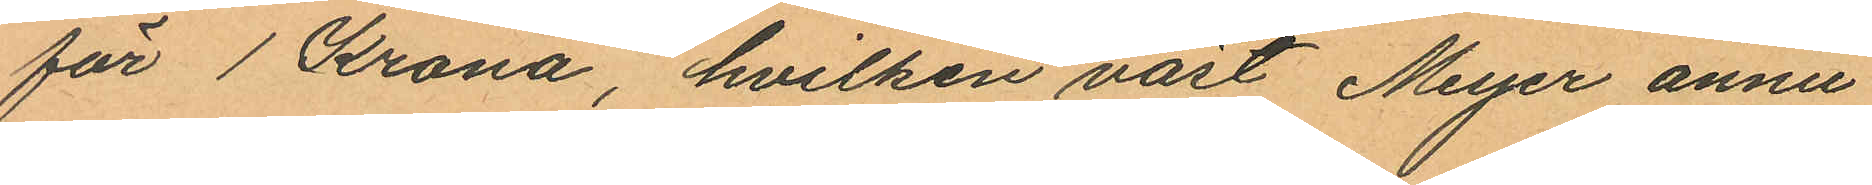för 1 Krona, hvilken väst Meyer ännu
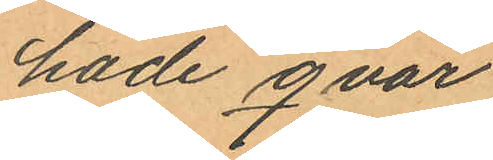hade qvar
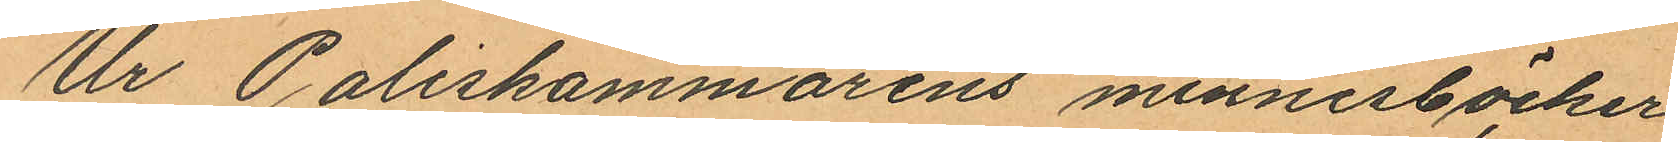Ur Poliskammarens minnesböcker
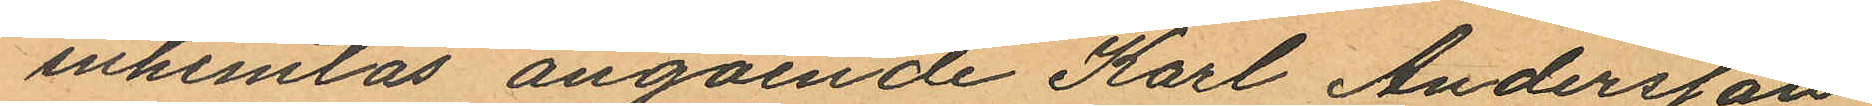inhemtas angående Karl Andersson
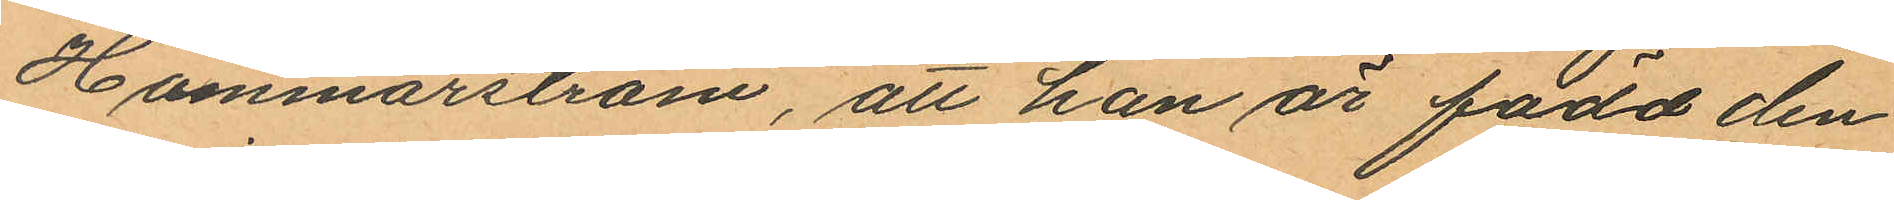Hammarström, att han är född den
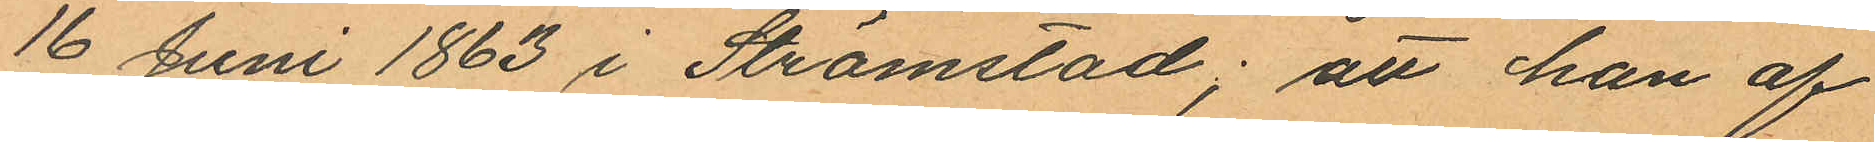16 Juni 1863 i Strömstad; att han af
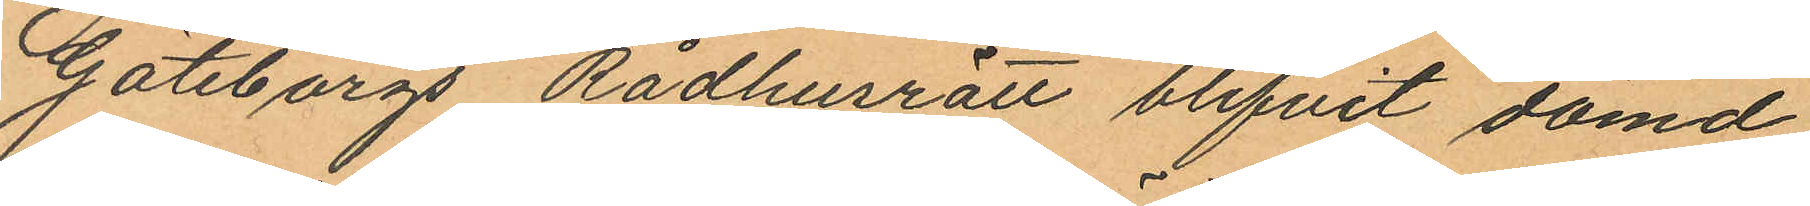Göteborgs Rådhusrätt blifvit dömd
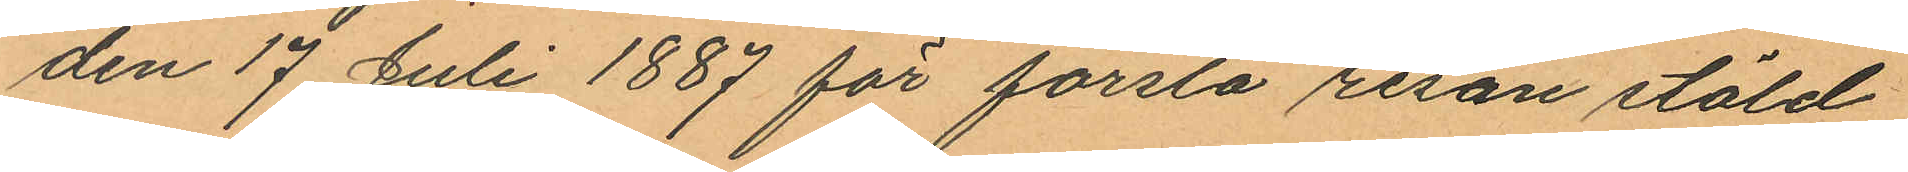den 17 Juli 1887 för första resan stöld
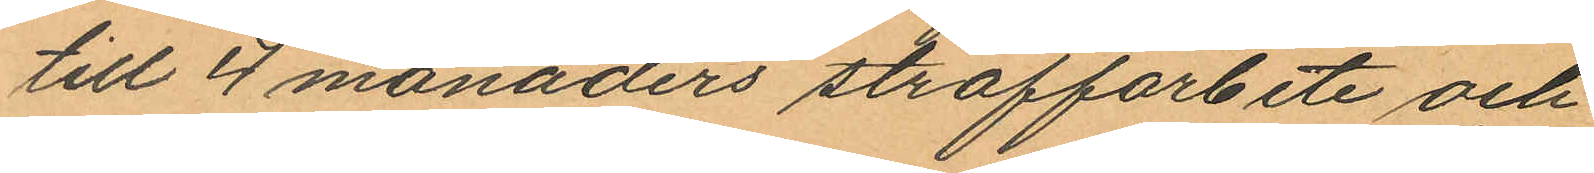till 4 månaders straffarbete och
